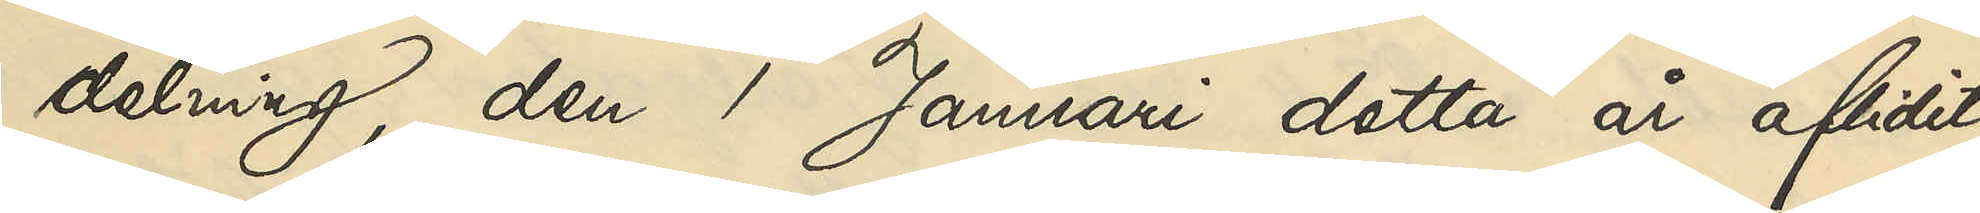delning, den 1 Januari detta år aflidit.
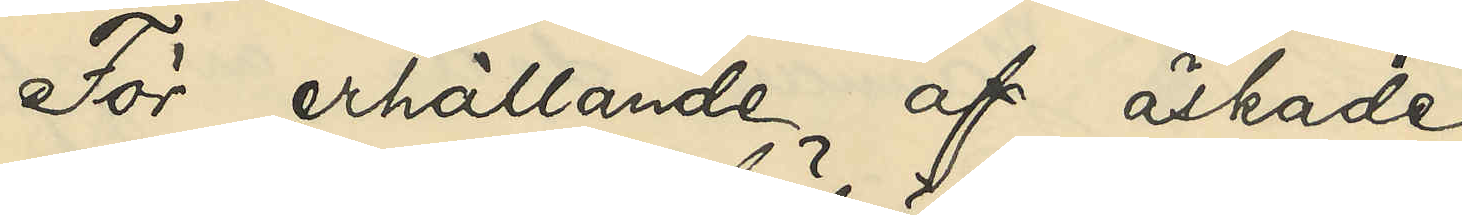För erhållande af äskade
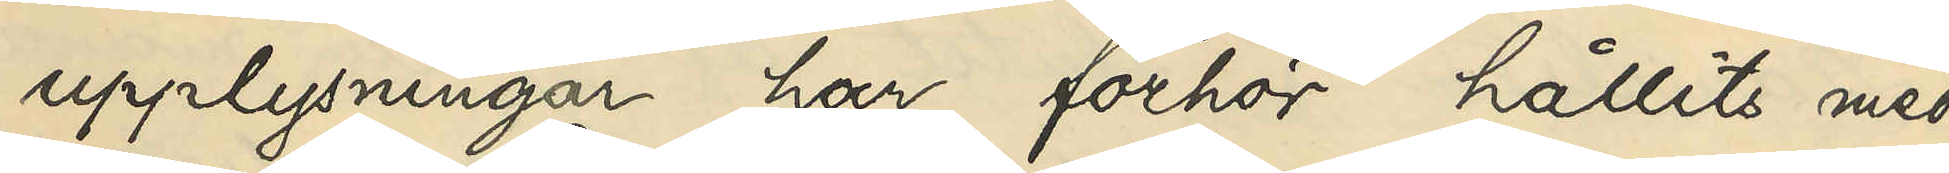upplysningar har förhör hållits med
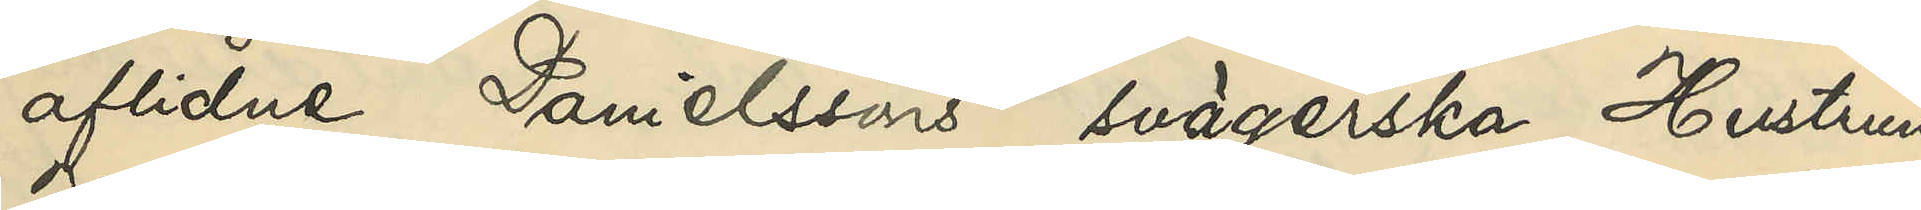aflidne Danielsson svägerska, Hustrun
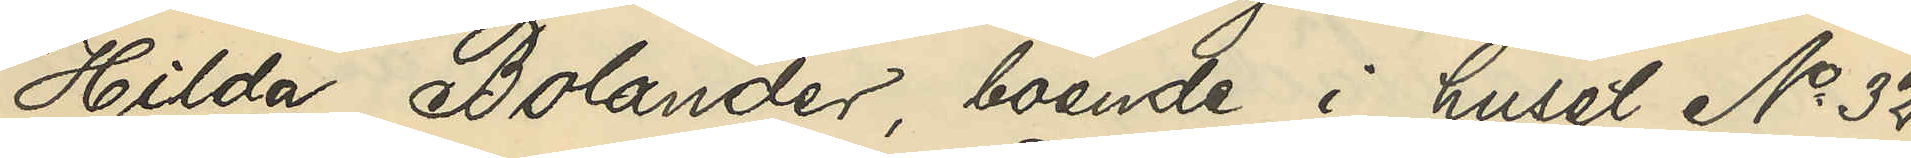Hilda Bolander, boende i huset No 32
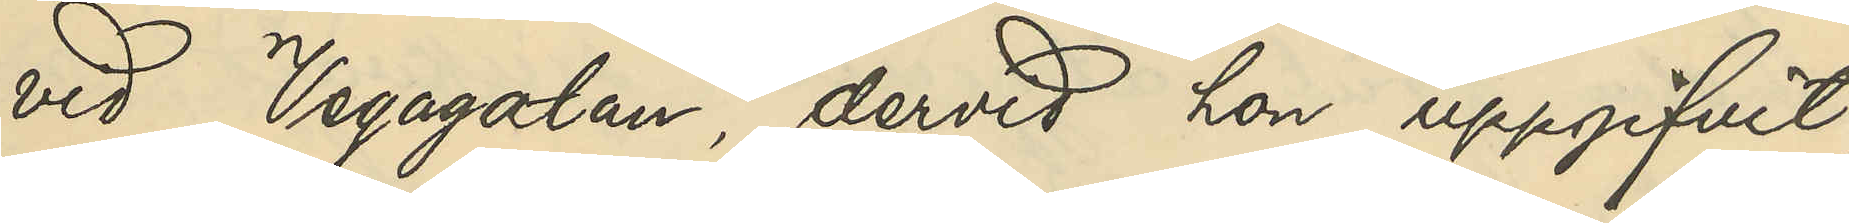vid Vegagatan, dervid hon uppgifvit,
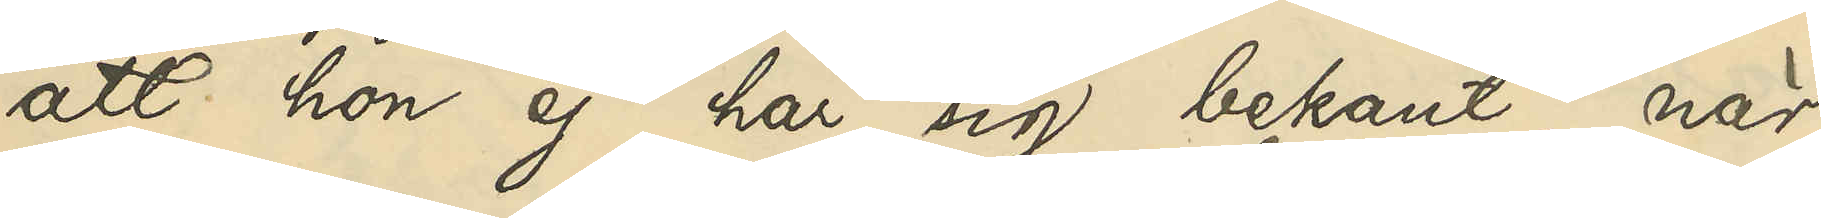att hon ej har sig bekant, när
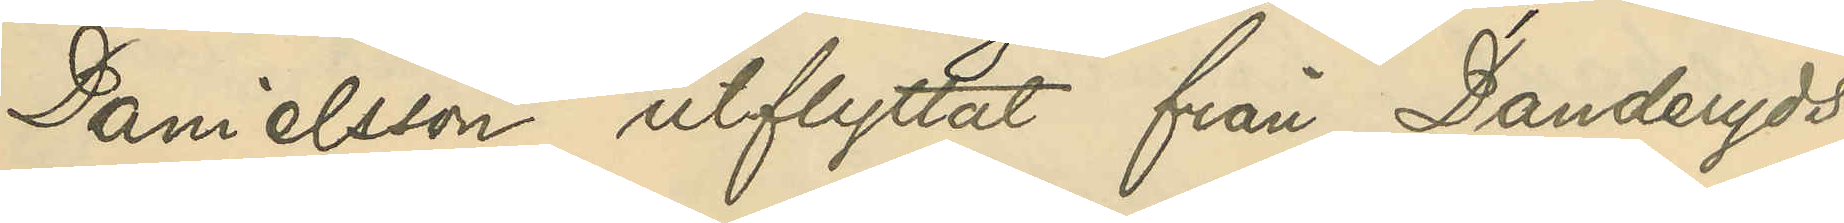Danielsson utflyttat från Danderyds
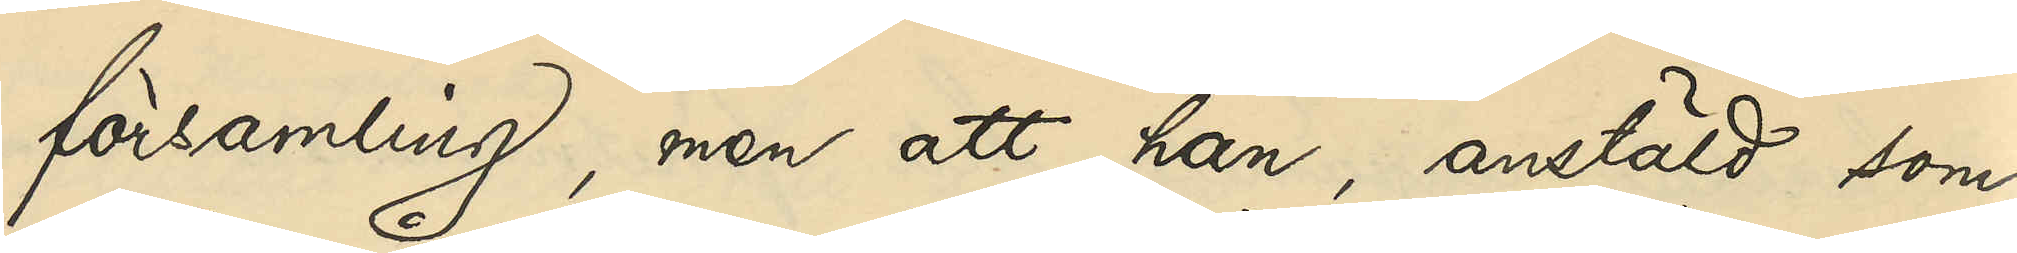församling, men att han, anstäld som
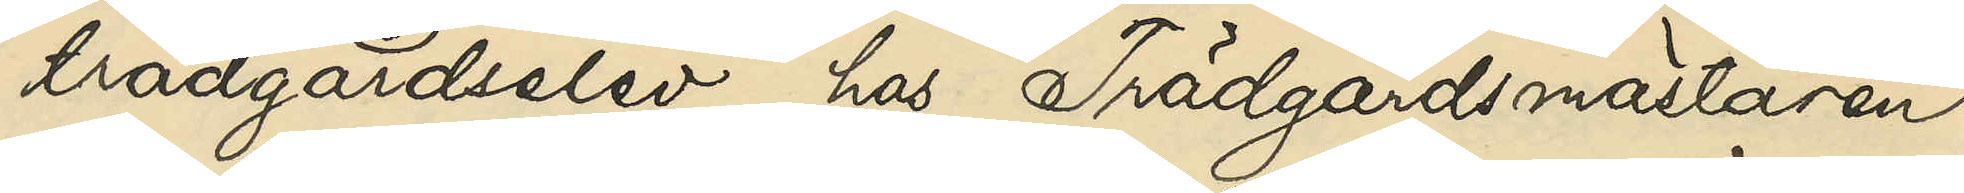trädgårdselev hos Trädgårdsmästaren
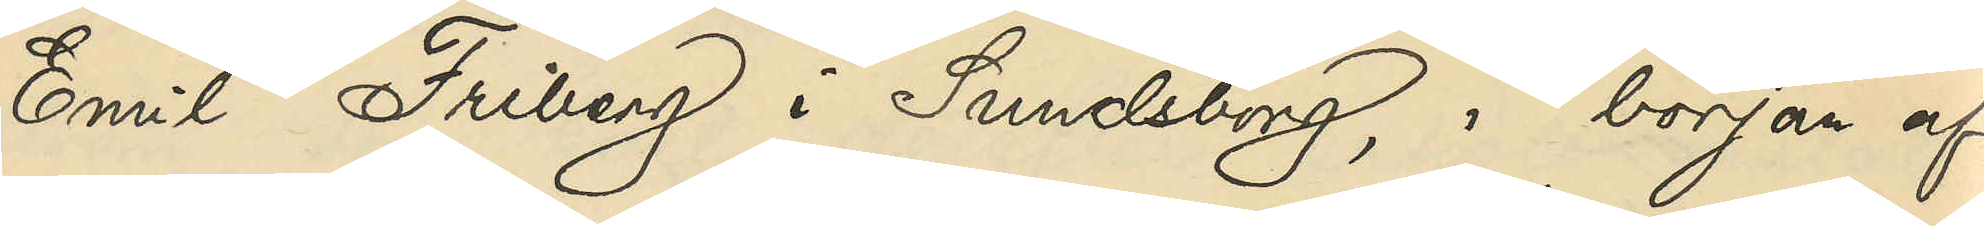Emil Friberg i Sundsborg, i början af
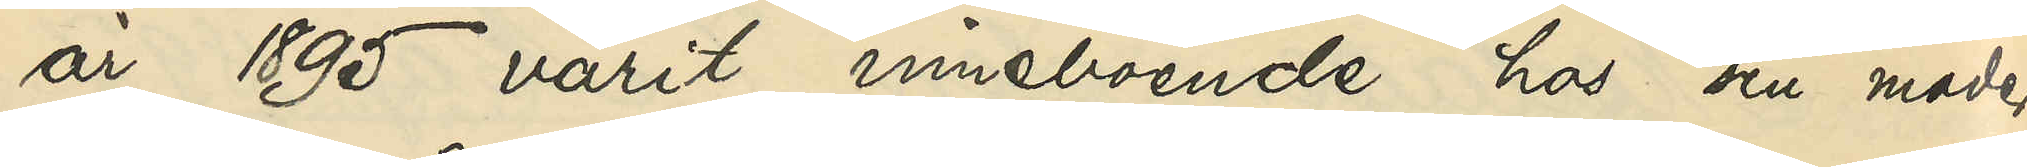år 1895 varit inneboende hos sin moder
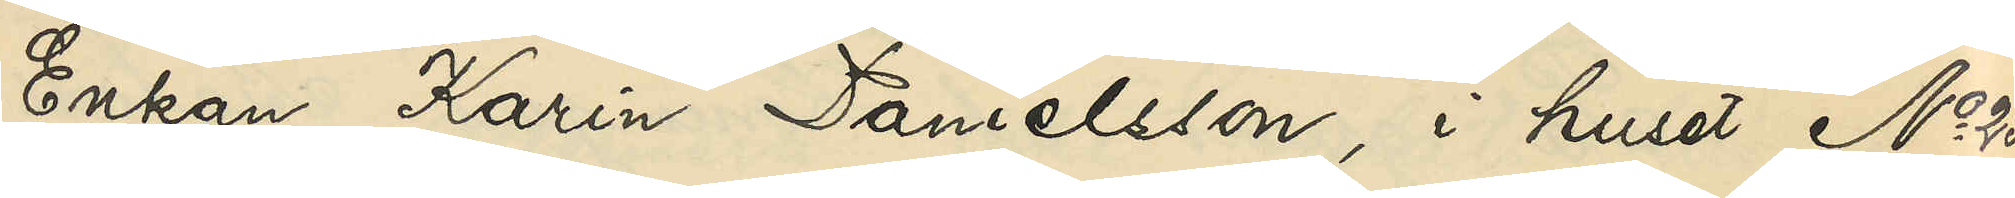Enkan Karin Danielsson, i huset No 25
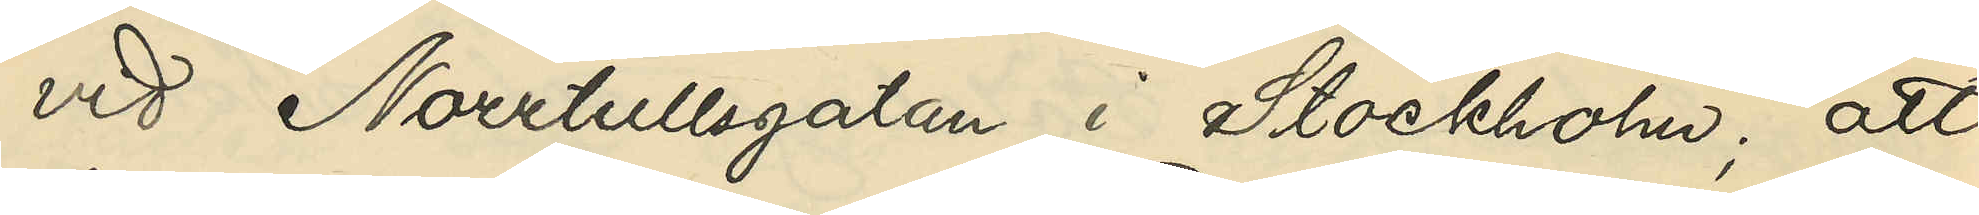vid Norrtullsgatan i Stockholm; att
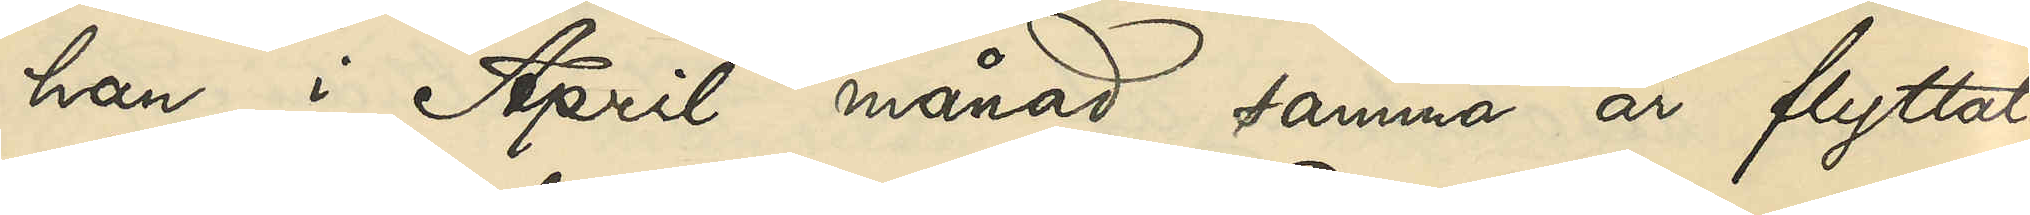han i April månad samma år flyttat
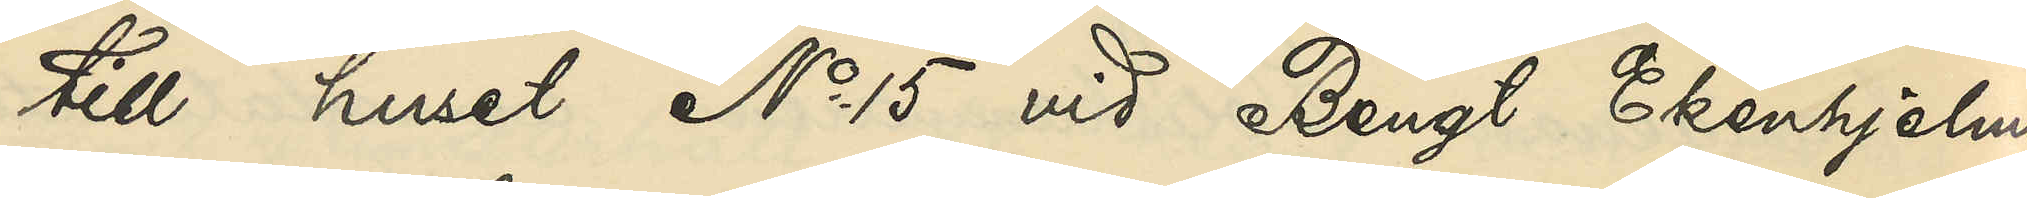till huset No 15 vid Bengt Ekenhjelms¬
